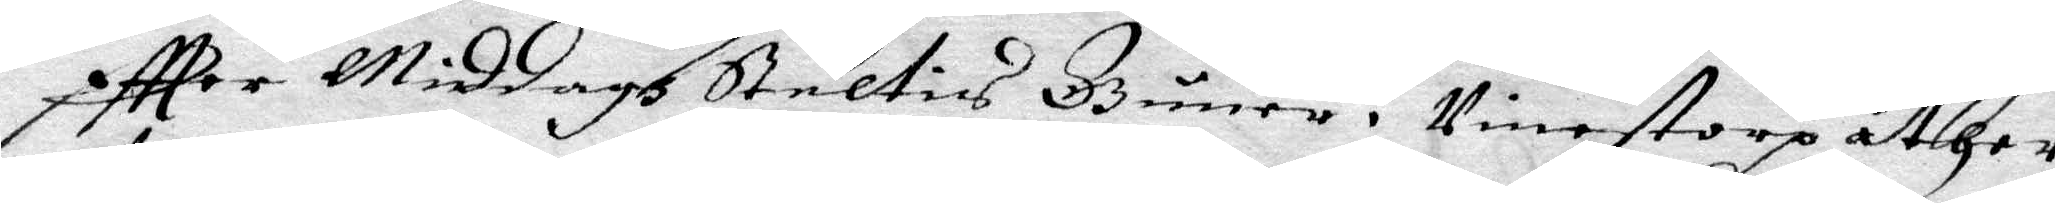eftter Middagen Steltis Guner i Vinestorp åther
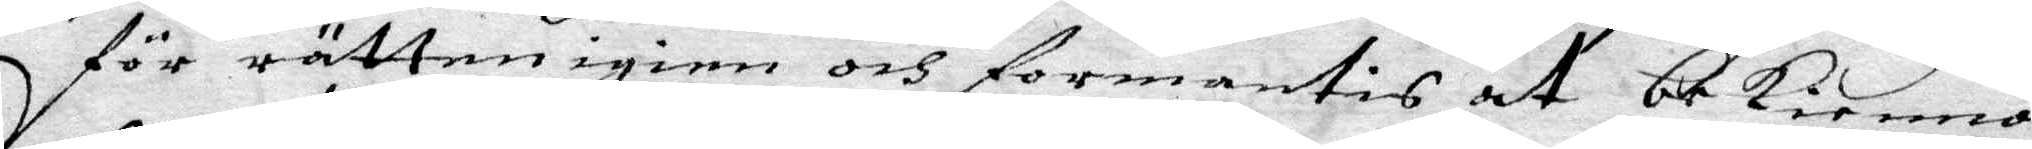för rätten igien och formantis at bekienna
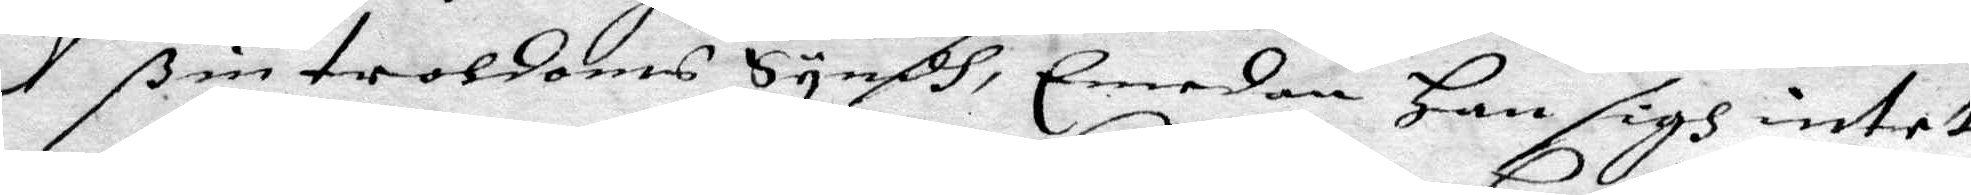ßin troldoms Syndh, Emedan han sigh intet
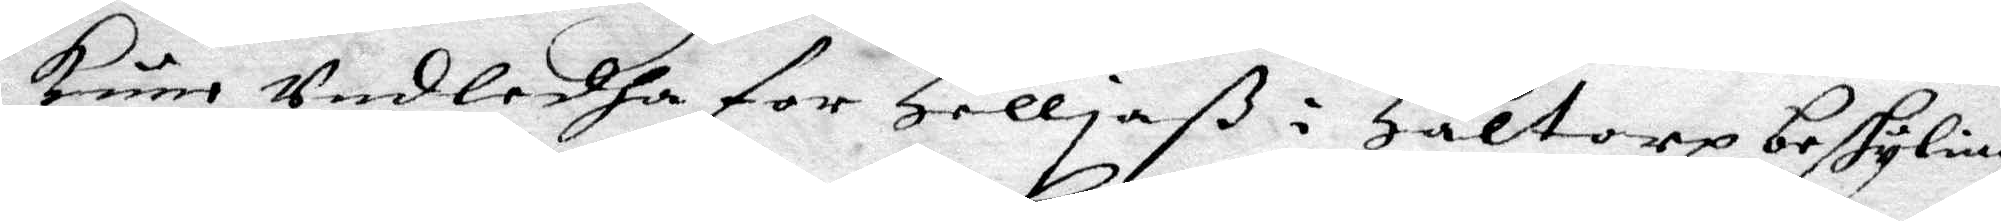kune Undledha for Helljaß i Haltorp beskylning
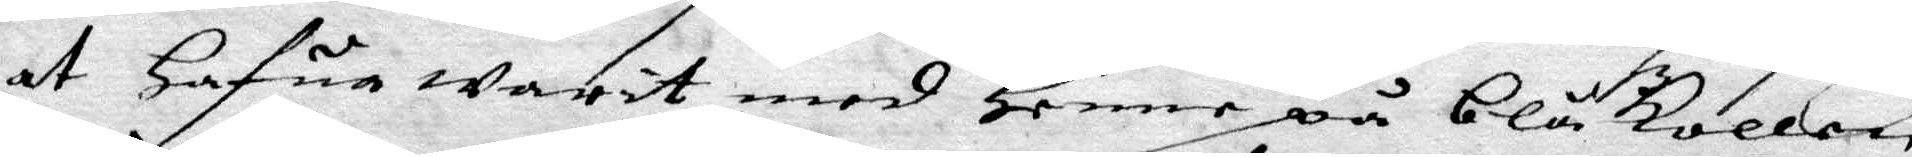at Hafua warit med Henne på Blåkulla,
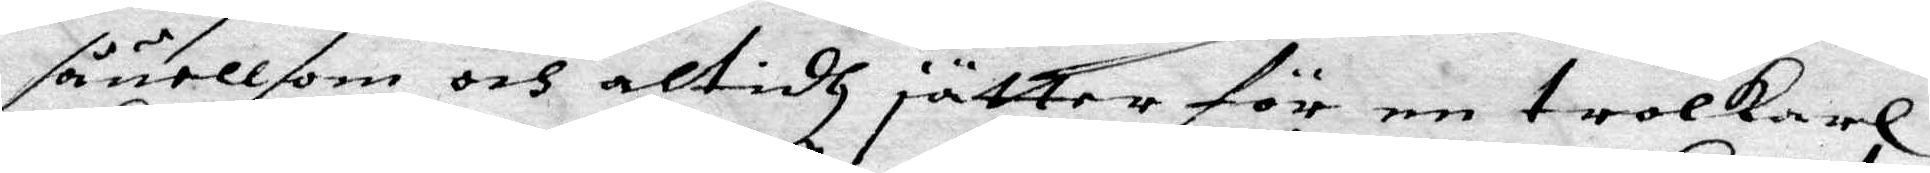såuell som och altidh jätter för en trolkarl,
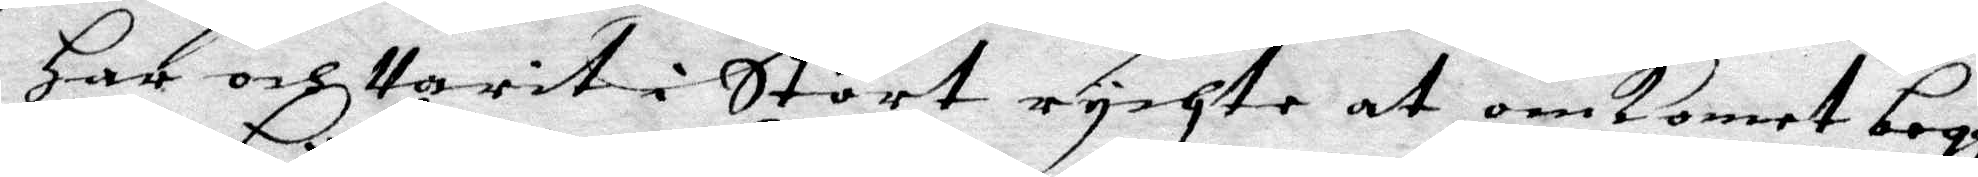Har och Varit i Stort rychte at omkomet begge
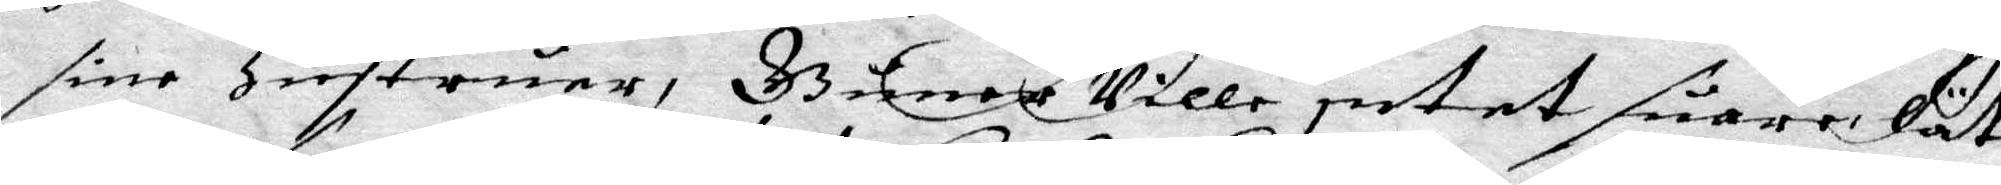sine Hustruer, Gunat Ville intet suara, Lät
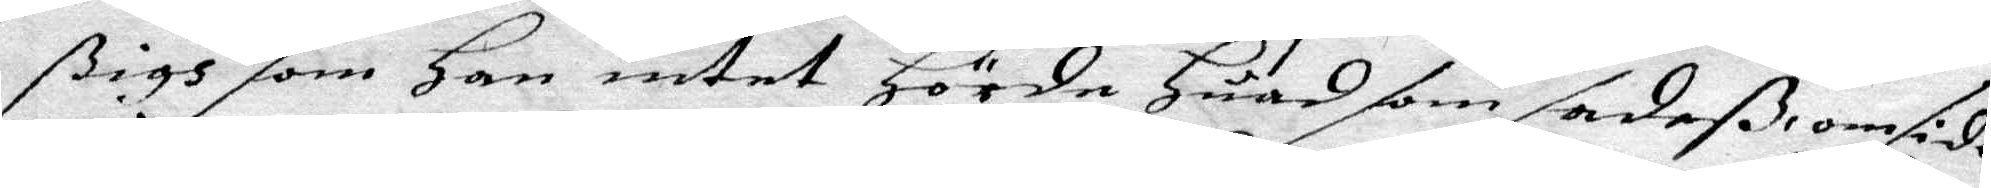ßigh som Han intet Hörde Huad som sadeß, omsider
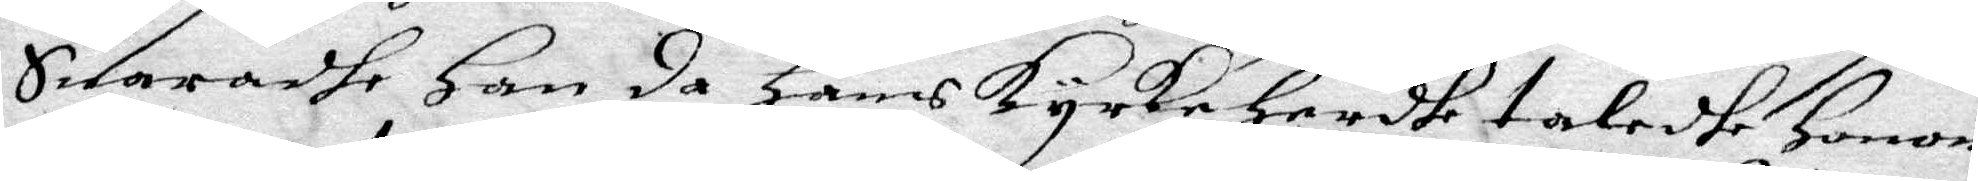Suaradge han da Hans kyrkeherdhe taladhe Honom
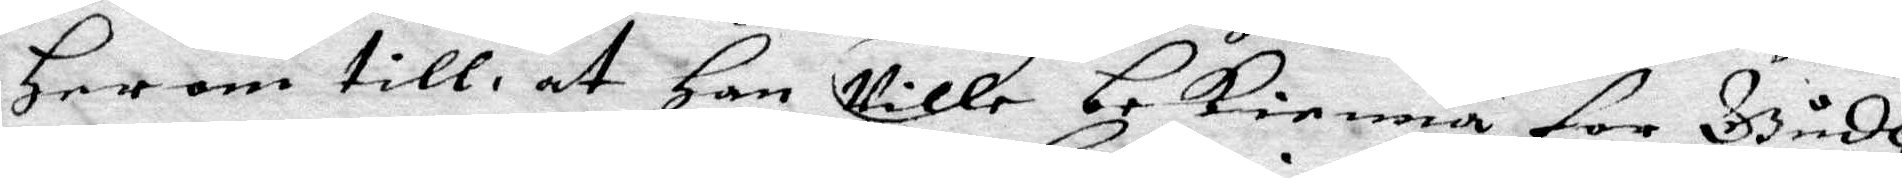Herom till, at Han Ville bekienna for Gudh
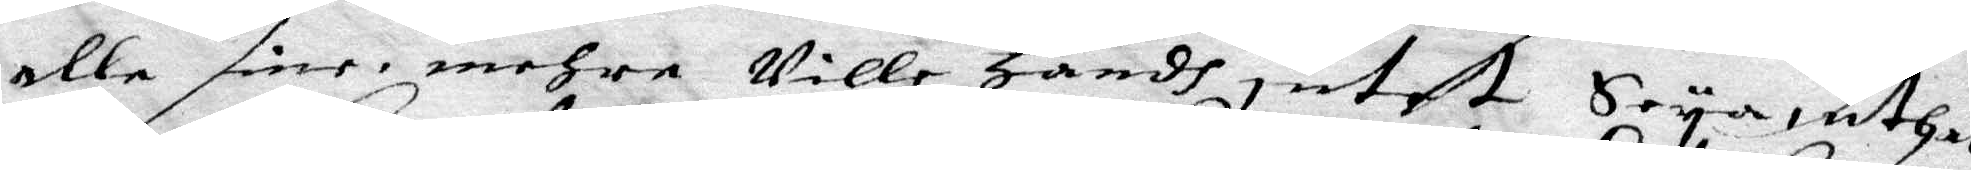alla sine mehra Ville Handh intet Seya, uthan
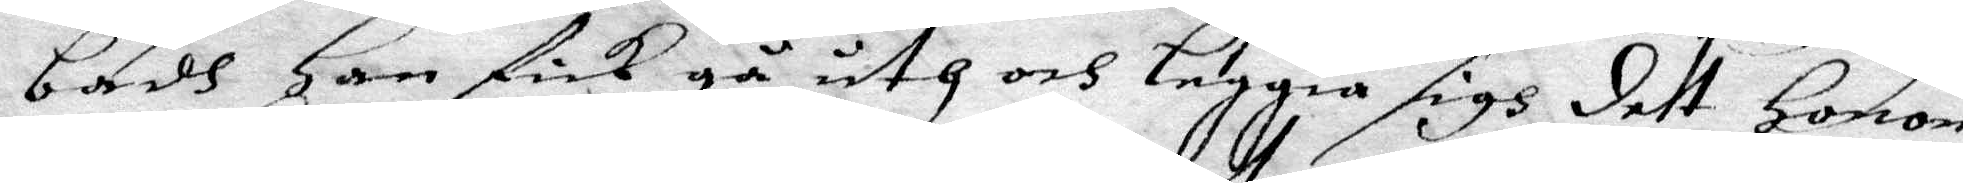badh Han fick gå uth och Leggia sigh dett Honom
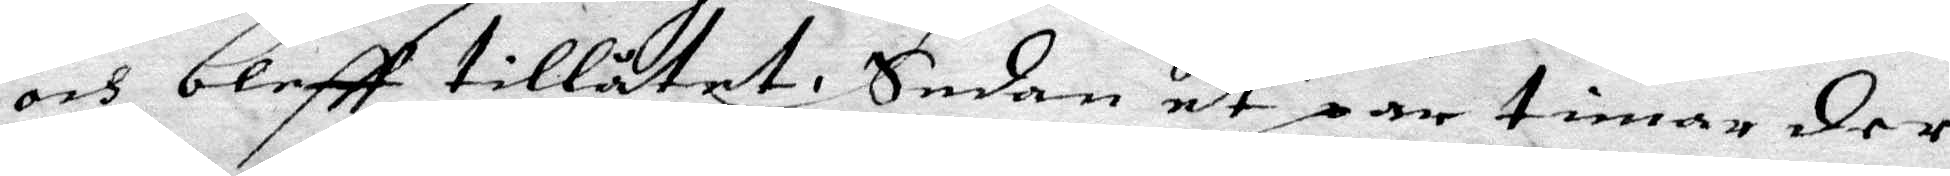och bleff tillåtet. Sedan et par timar der
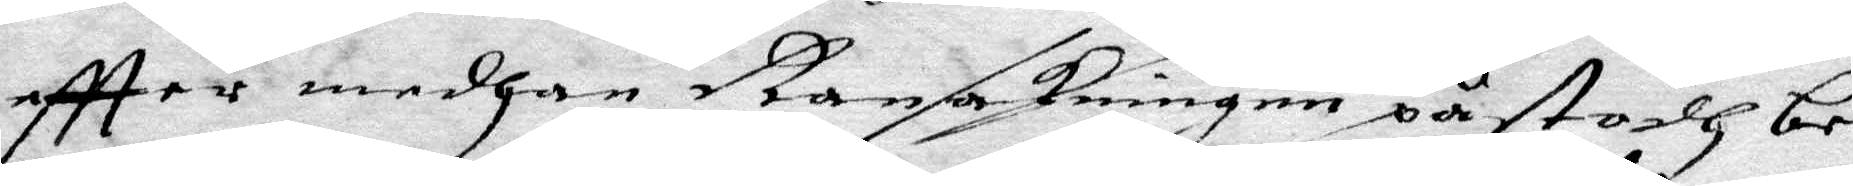eftter medhan Ransakningen påstodh be¬
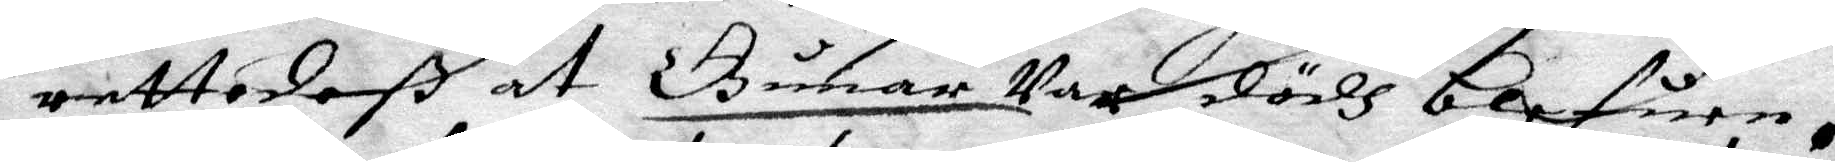rettadeß at Gunar Var dödh befunen.
